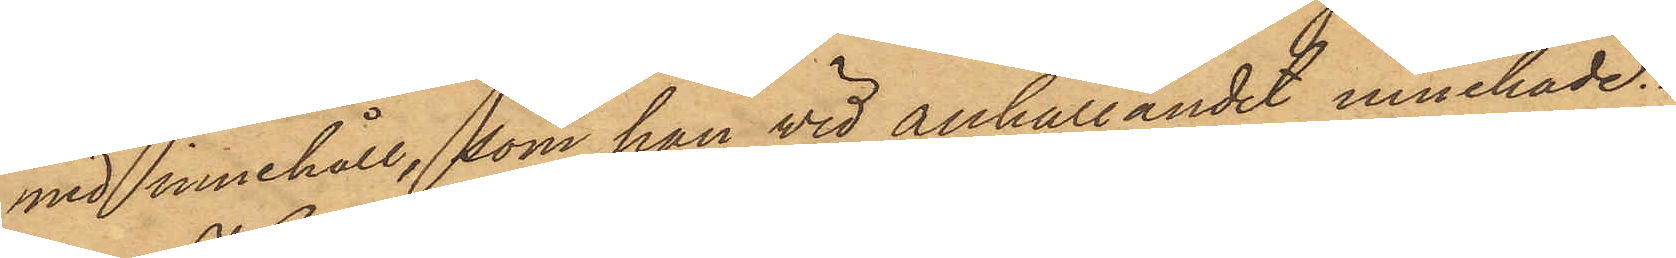med innehåll, som han vid anhållandet innehade.
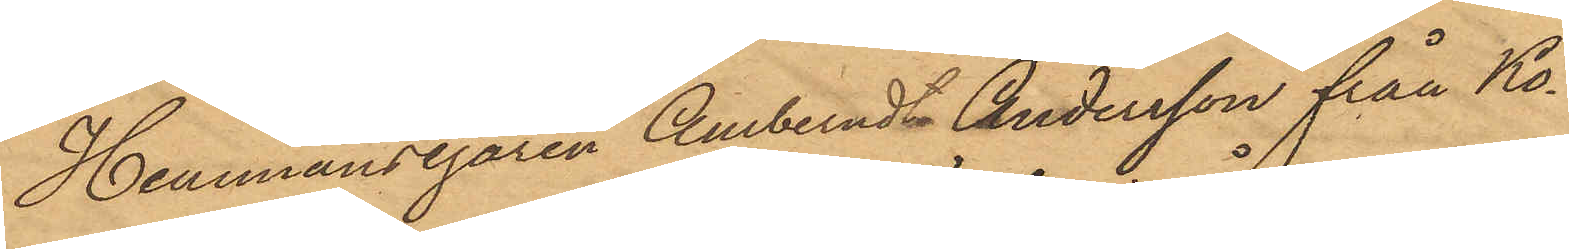Hemmansegaren Amberndt Andersson från Ko¬
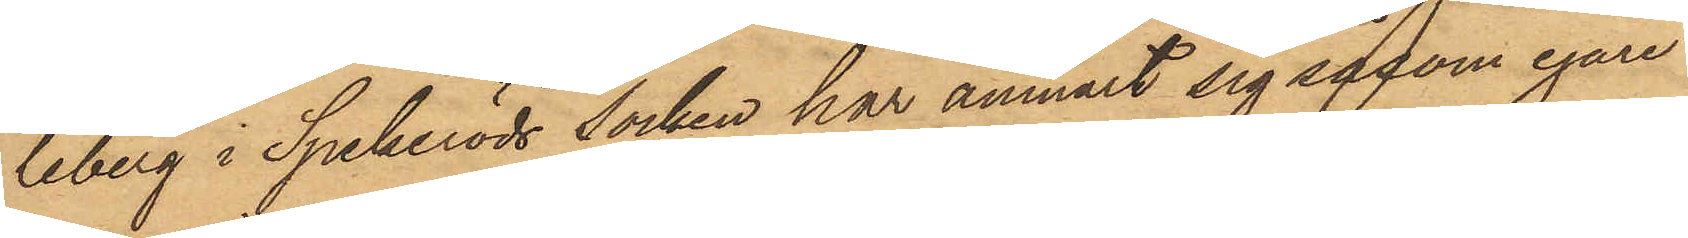leberg i Spekeröds socken har anmält sig såsom egare
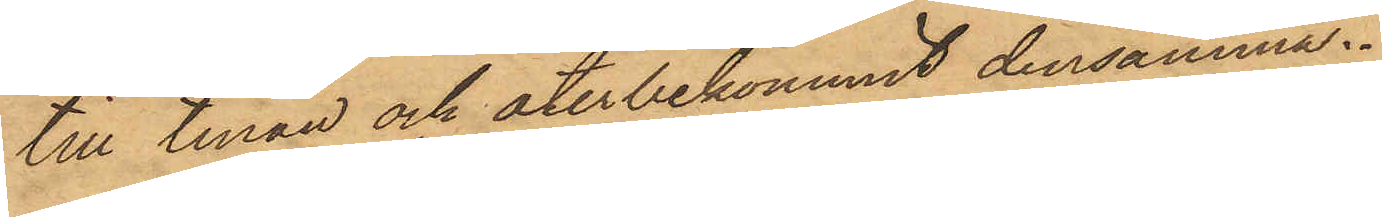till tinan och återbekommit densamma.
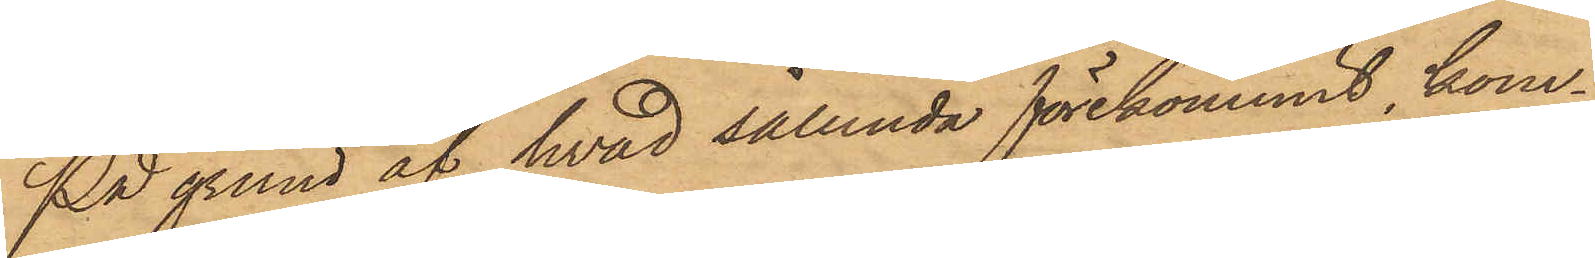På grund af hvad sålunda förekommit, kom¬
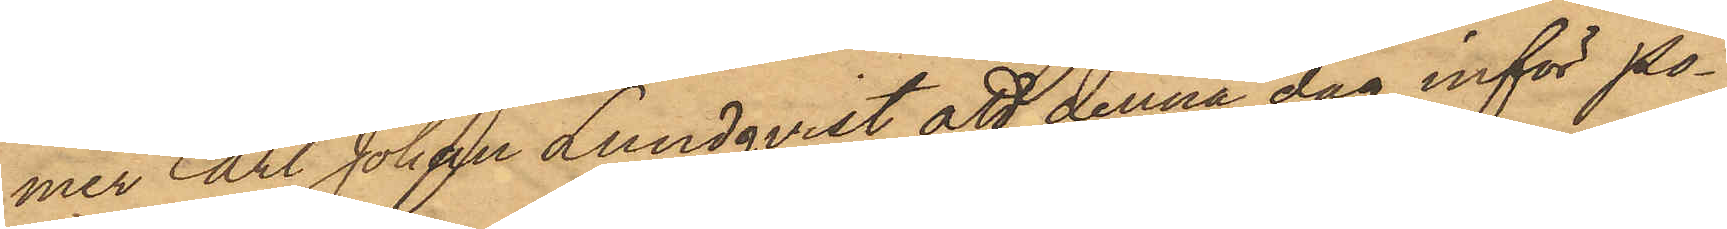mer Carl Johan Lundqvist att denna dag inför Po¬
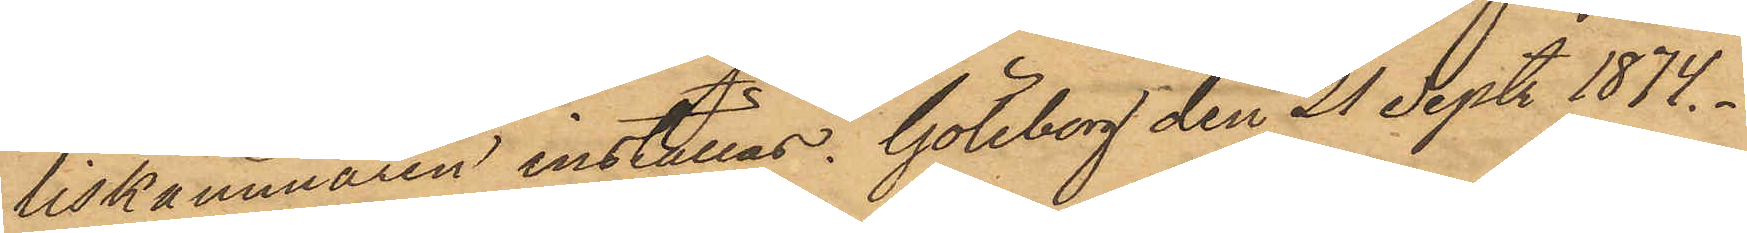liskammaren inställas. Göteborg den 21 Sept. 1874.
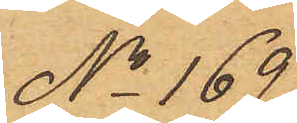No 169
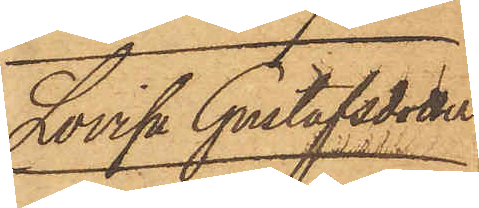Lovisa Gustafsson
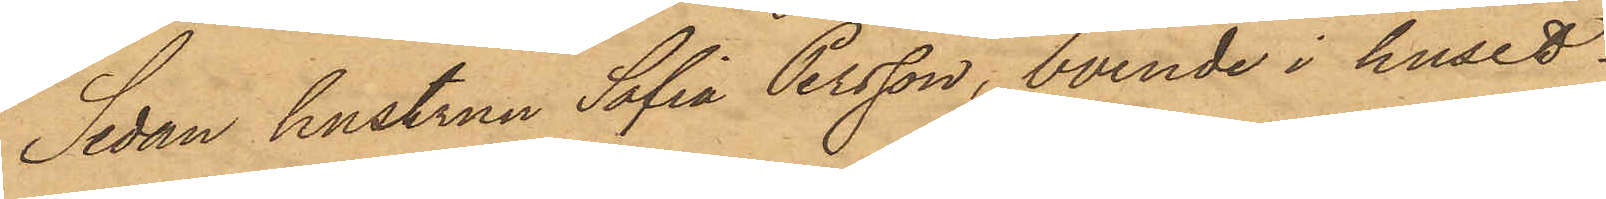Sedan hustrun Sofia Persson, boende i huset
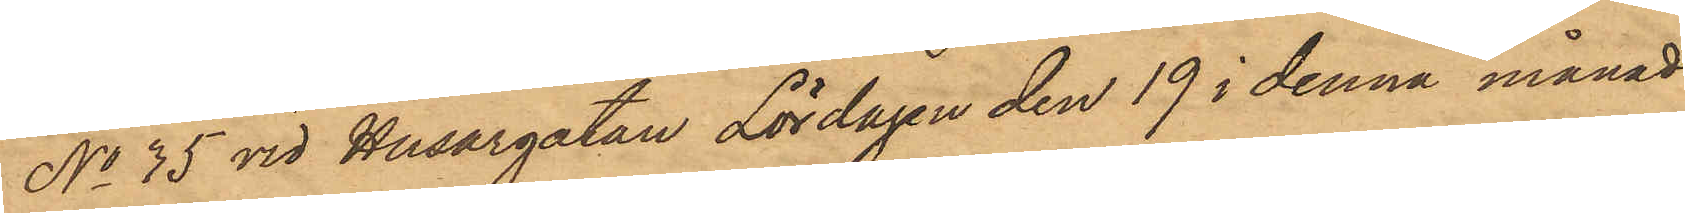No 35 vid Husargatan Lördagen den 19 i denna månad
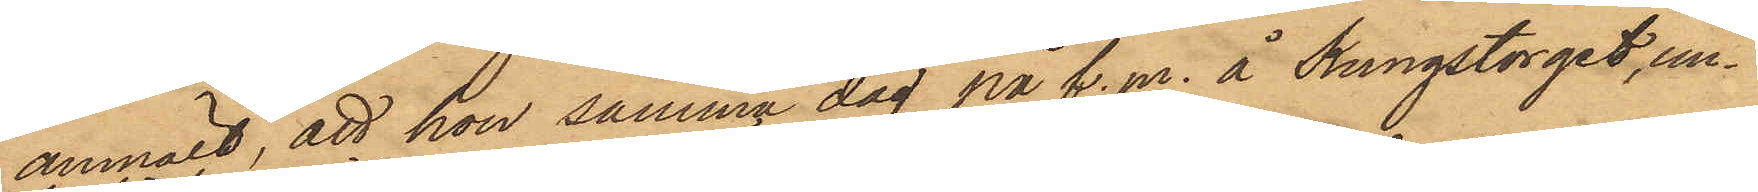anmält, att hon samma dag på f.m. å Kungstorget, un¬
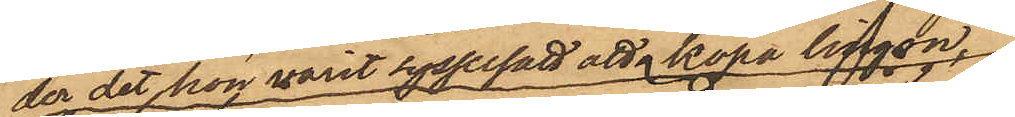der det hon varit sysselsatt att köpa lingon,
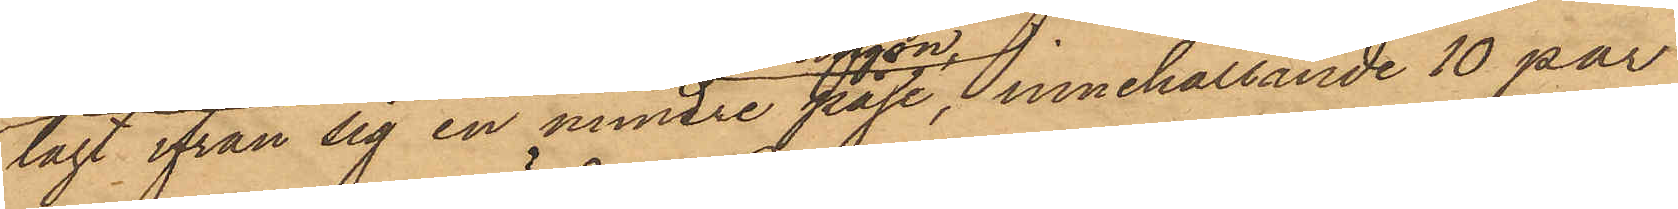lagt ifrån sig en mindre påse, innehållande 10 par
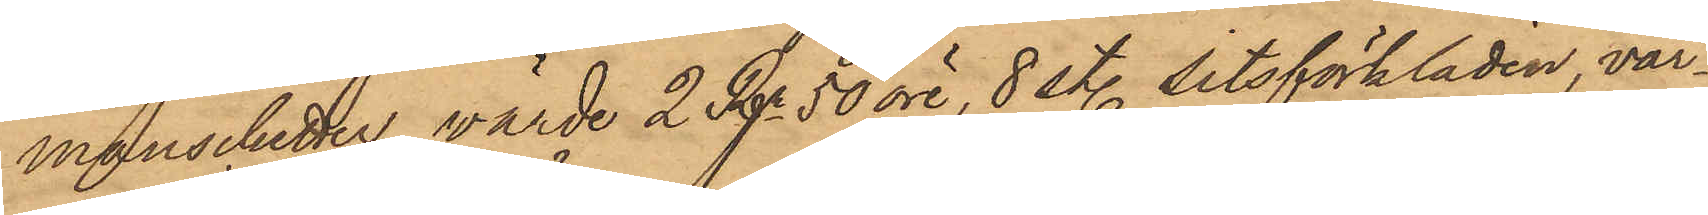manschetter, värde 2 Kr 50 öre, 8 sty. sitsförkläden, vär¬
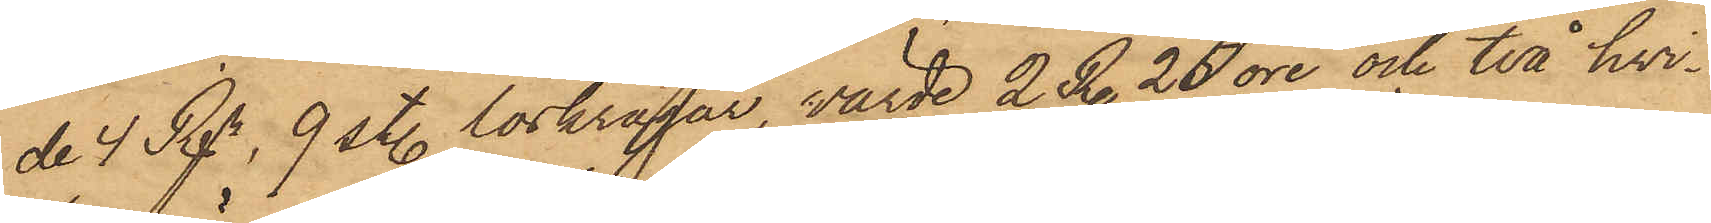de 4 Rdr,  9 st. löskragar, värde 2 Rdr 25 öre och två hvi¬
